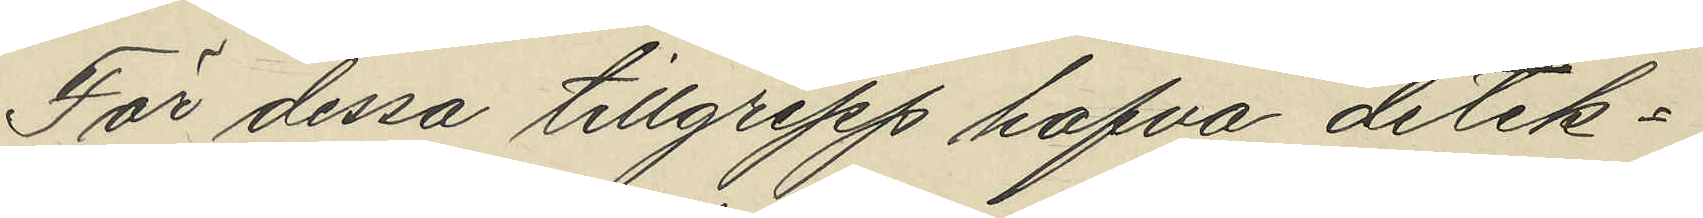För dessa tillgrepp hafva detek¬
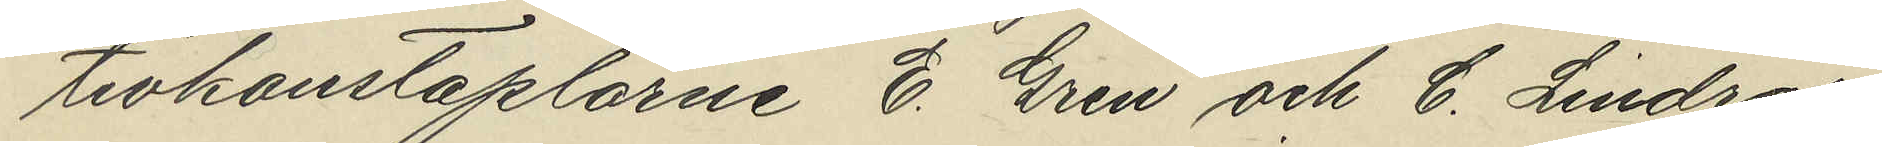tivkonstaplarne E. Gren och C. Lindros
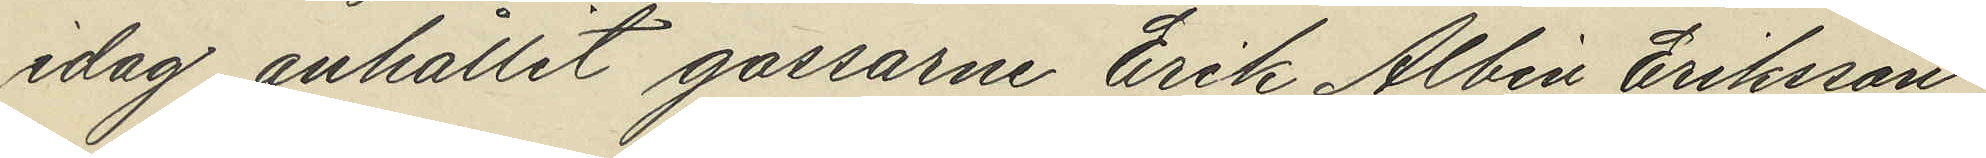idag anhållit gossarne Erik Albin Eriksson
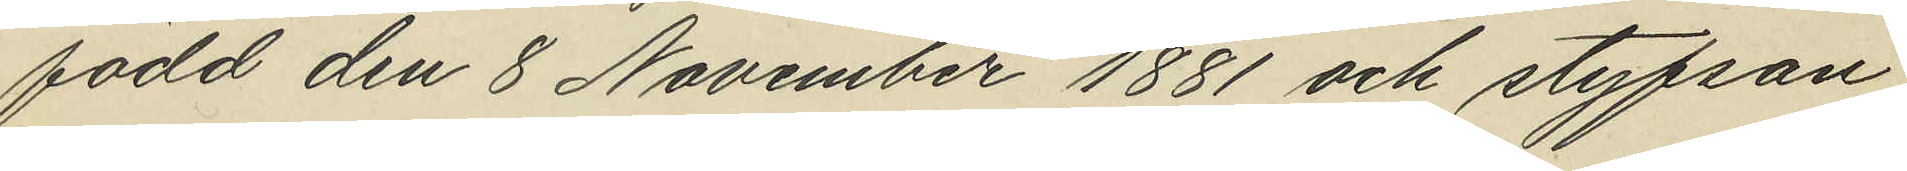född den 8 November 1881 och styfson
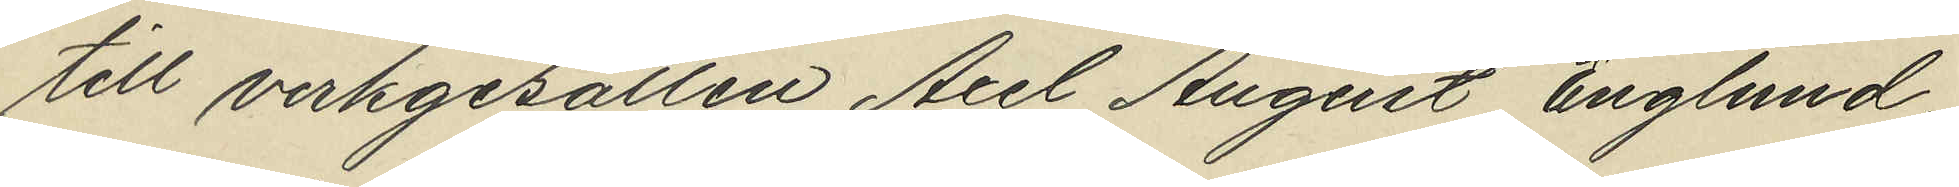till verkgesällen Axel August Englund,
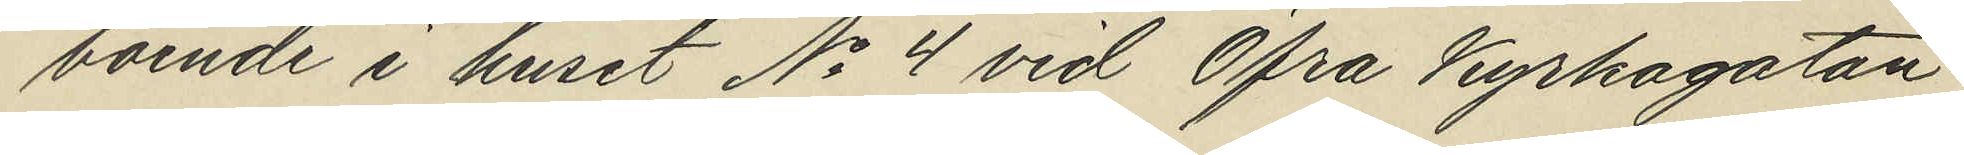boende i huset No 4 vid Öfra Kyrkogatan
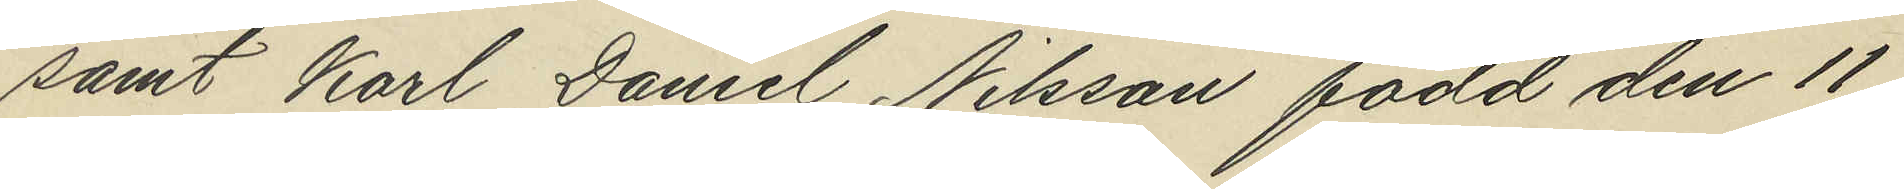samt Karl Daniel Nilsson född den 11
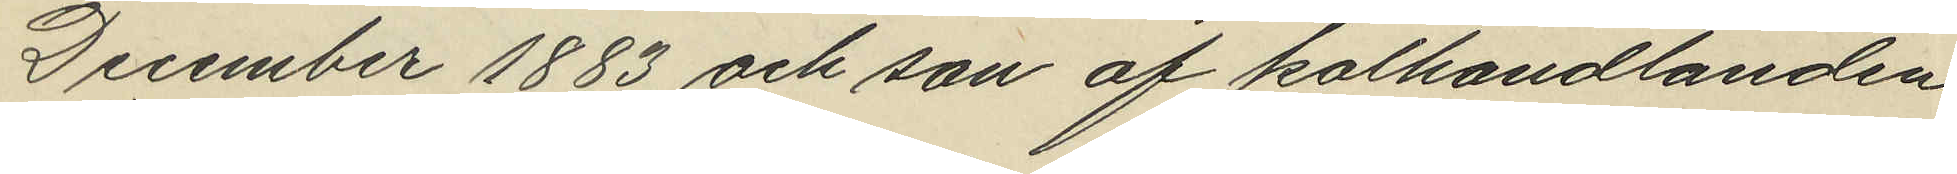December 1883 och son af kolhandlanden
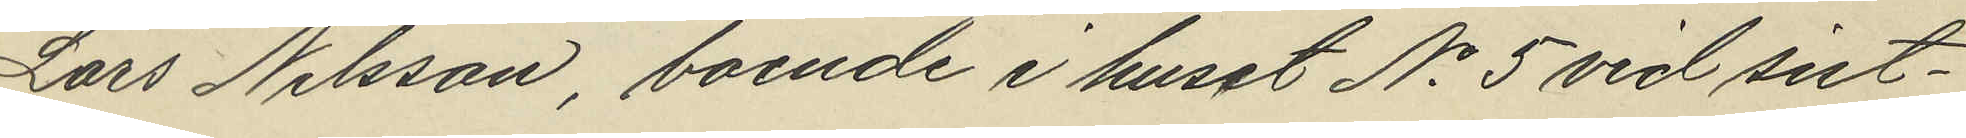Lars Nilsson, boende i huset No 5 vid sist¬
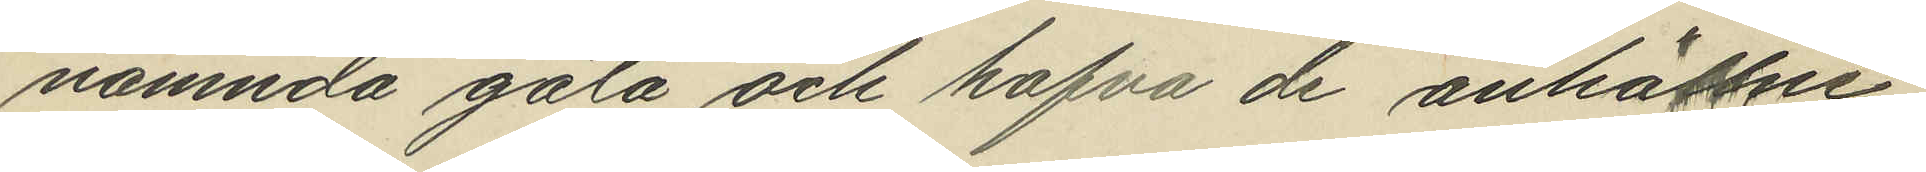nämnda gata och hafva de anhållne
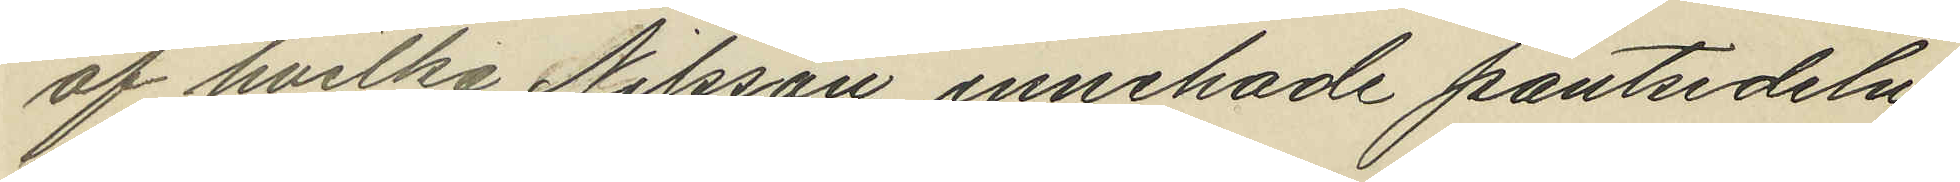af hvilka Nilsson innehade pantsedeln
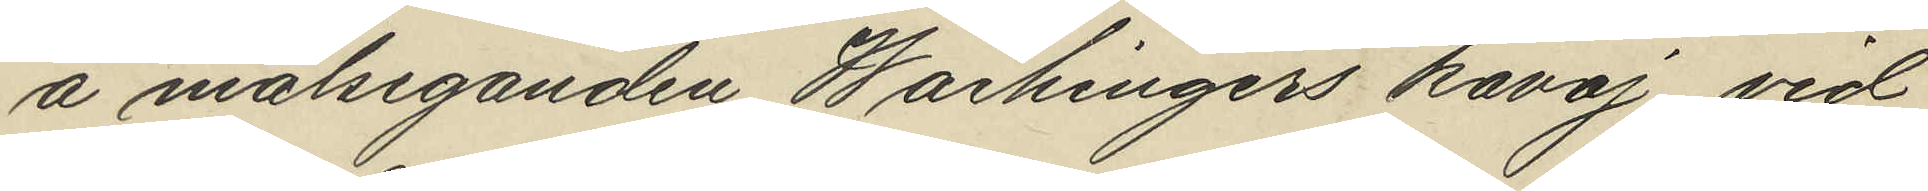å målseganden Waihingers kavaj vid
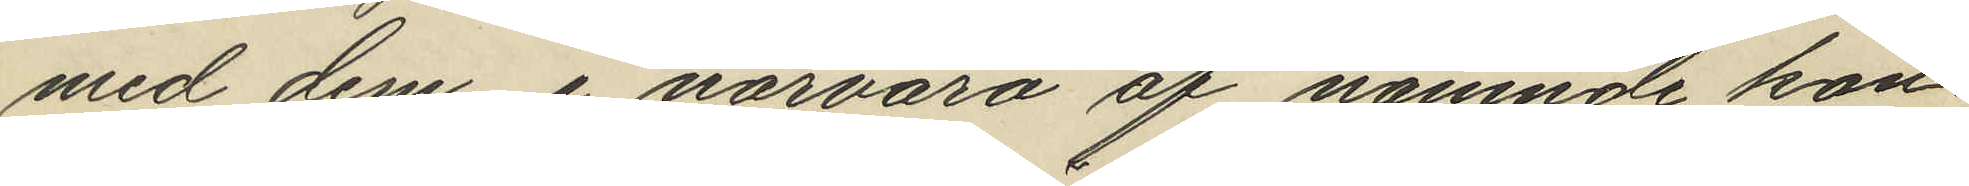med dem i närvaro af nämnde kon¬
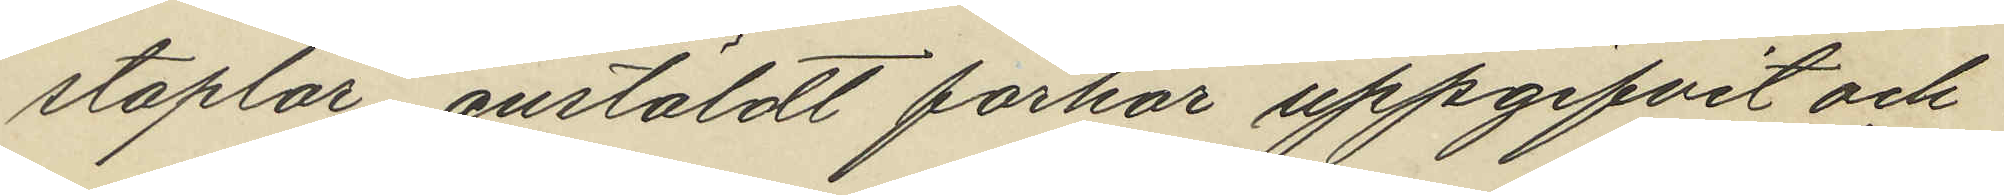staplar anstäldt förhör uppgifvit och
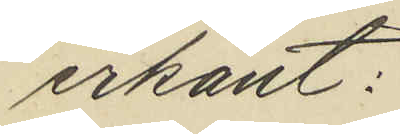erkänt:
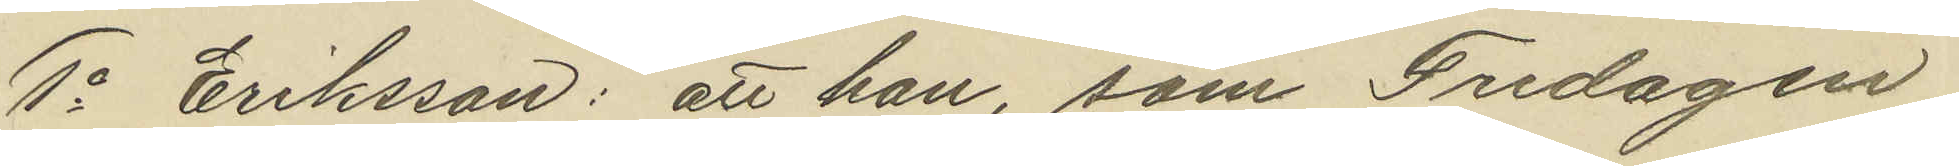1o Eriksson: att han, som Fredagen
